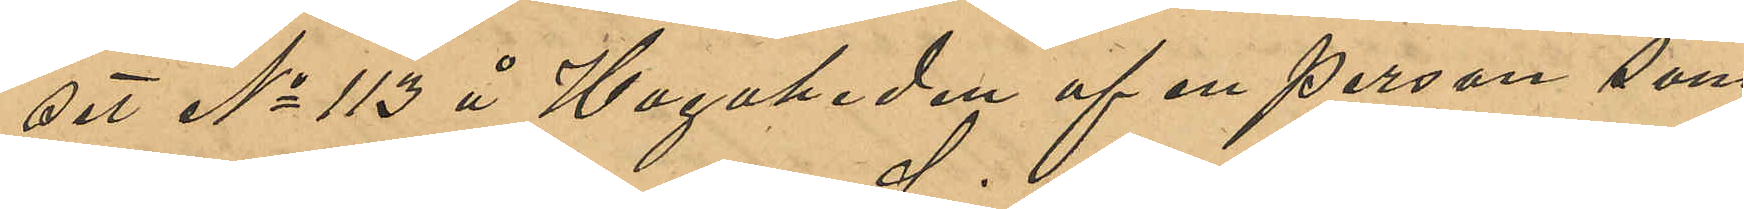set No 113 å Hagaheden af en person som
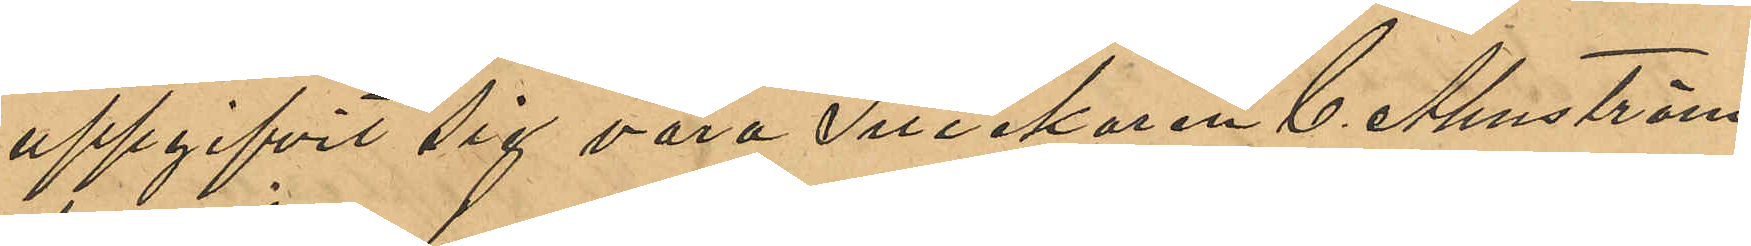uppgifvit sig vara Snickaren C. Almström,
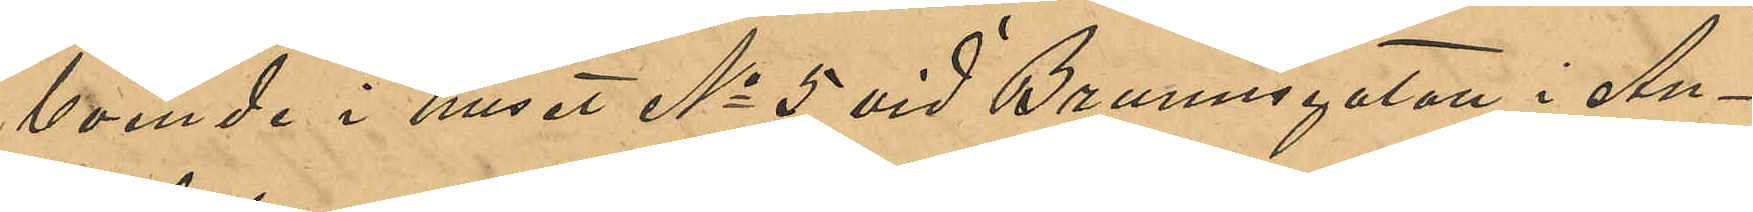boende i huset No 5 vid Brunnsgatan i An¬
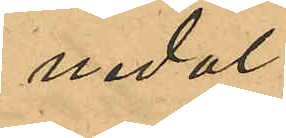nedal.
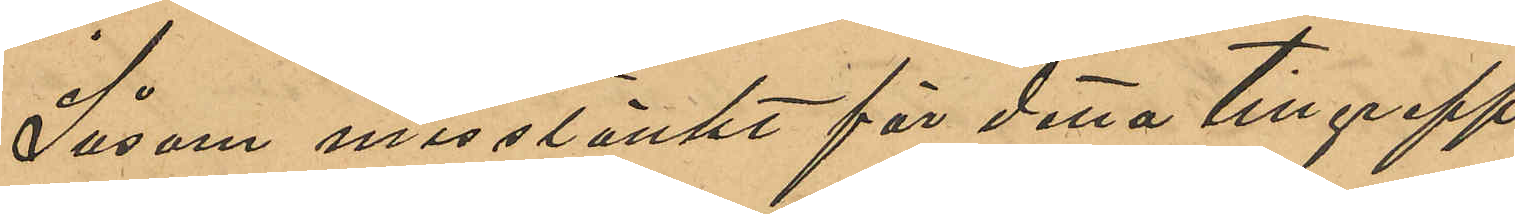Såsom misstänkt för detta tillgrepp
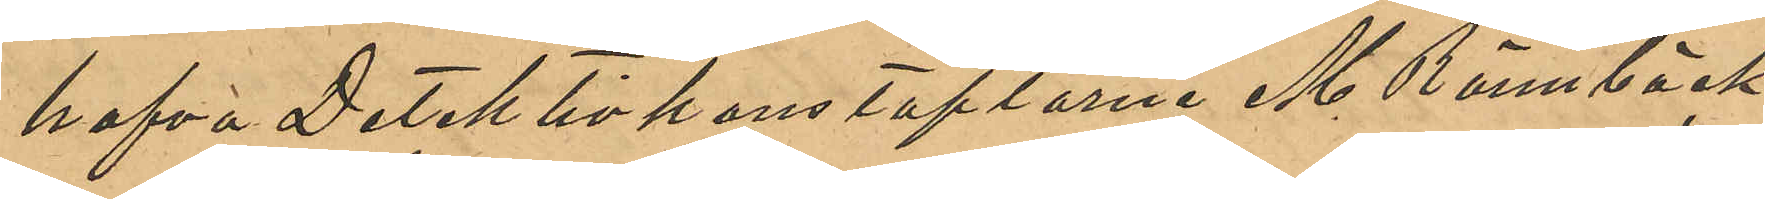hafva Detektivkonstaplarne M. Rönnbäck
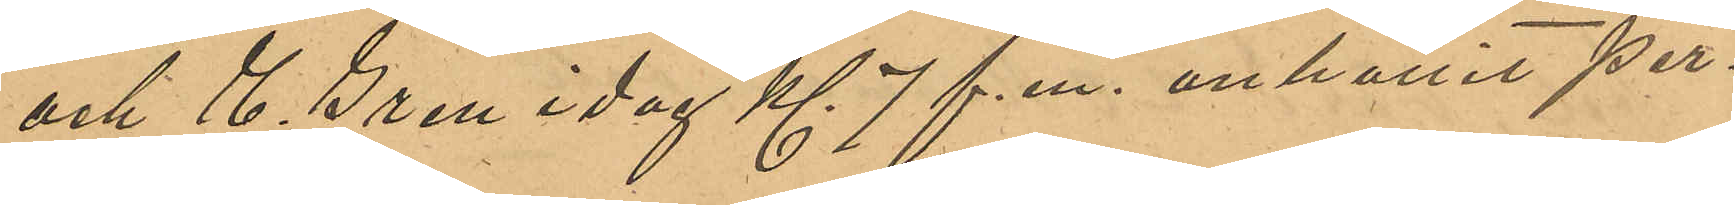och E. Gren idag Kl 7 f. m. anhållit per¬
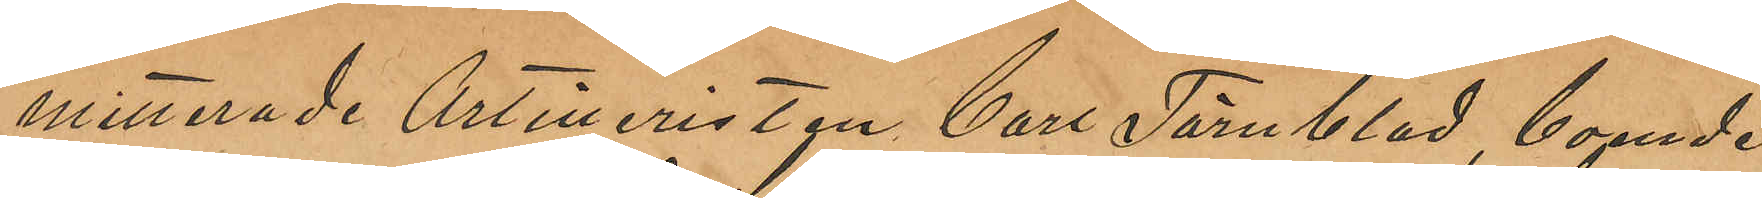mitterade Artilleristen Carl Törnblad, boende
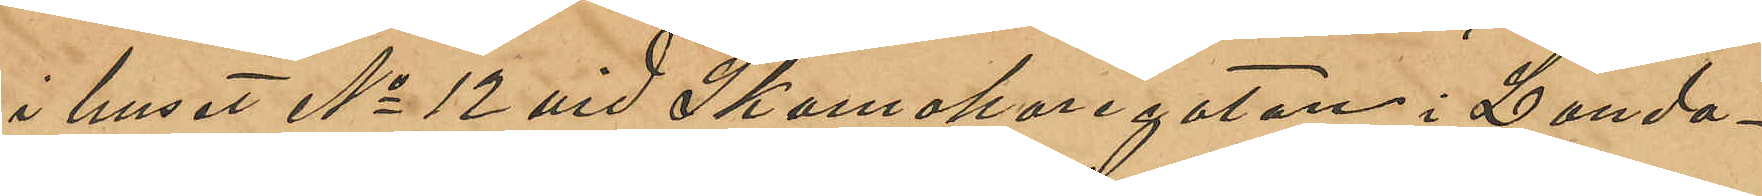i huset No 12 vid Skomakaregatan i Landa¬
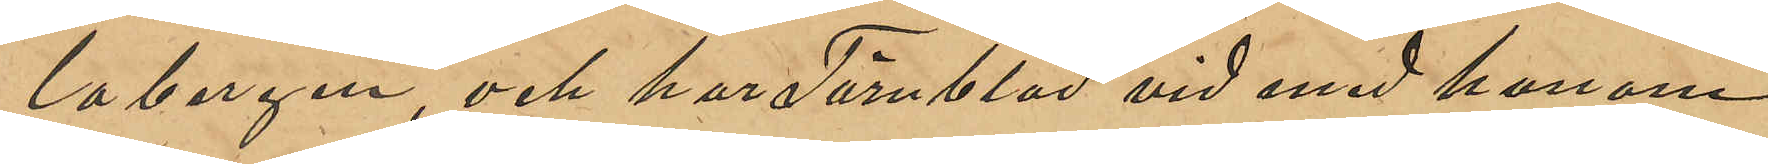labergen, och har Törnblad vid med honom
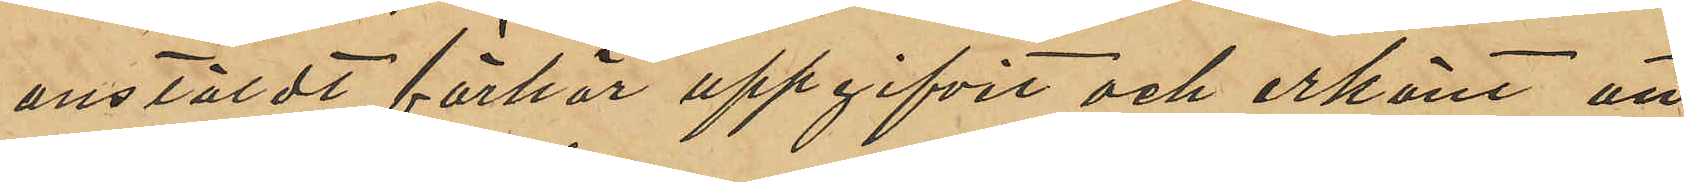anstäldt förhör uppgifvit och erkänt att
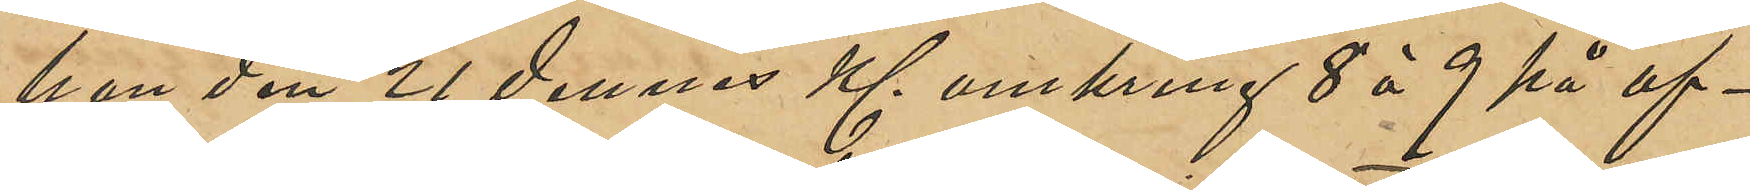han den 21 dennes Kl. omkring 8 à 9 på af¬
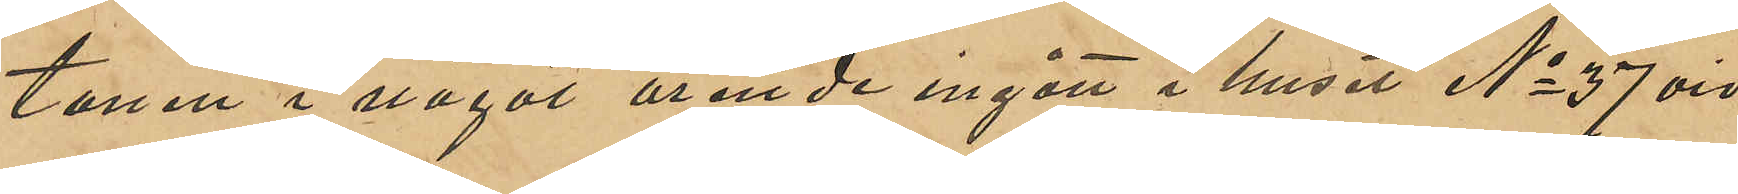tonen i något ärende ingått i huset No 37 vid
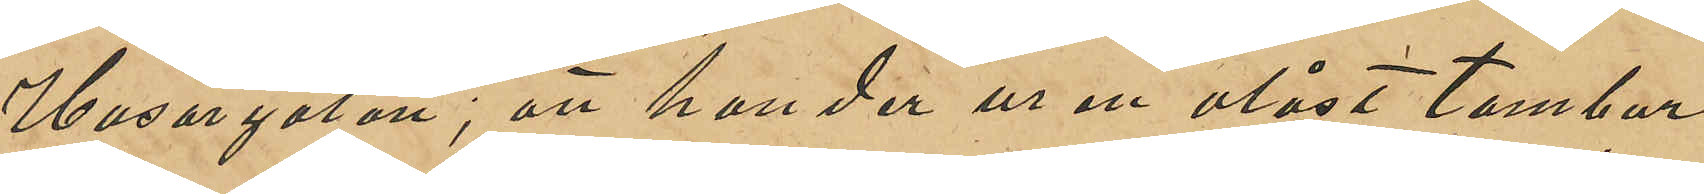Husargatan; att han der ur en olåst tambur
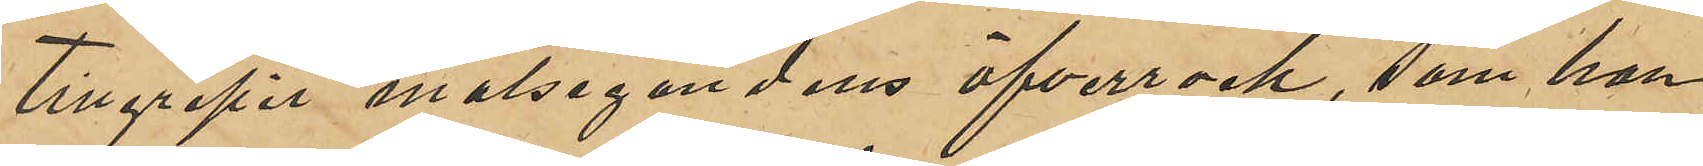tillgripit målsegandens öfverrock, som han
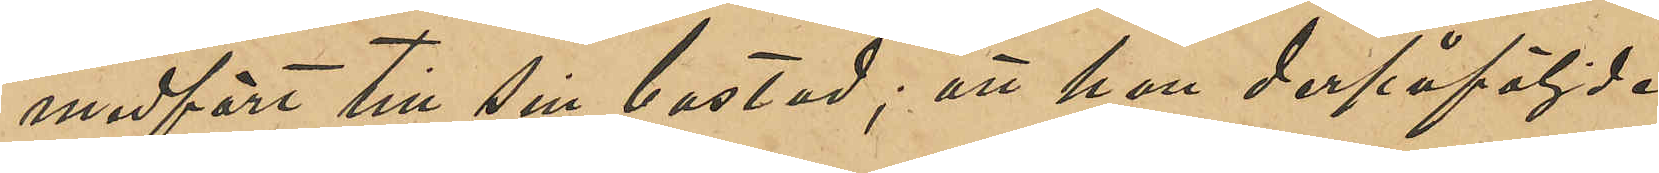medfört till sin bostad; att han derpåföljde
